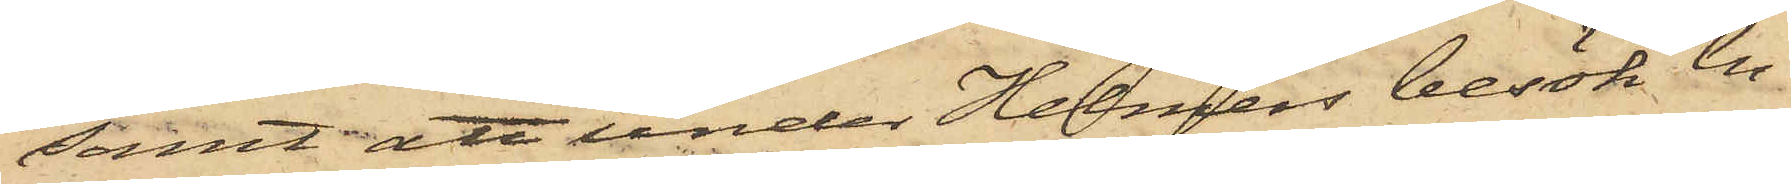samt att under Helmers besök en
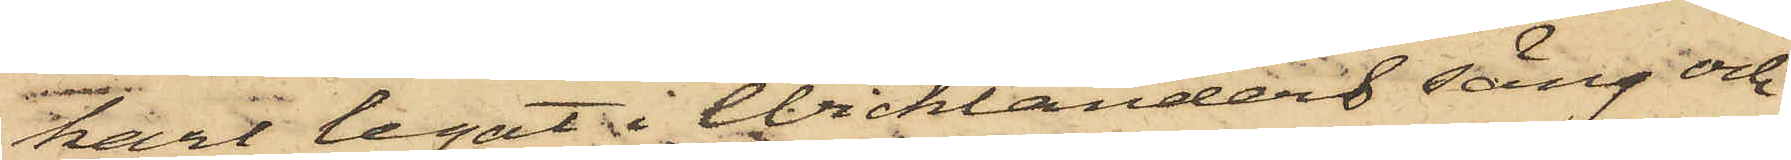karl legat i Wicklanders säng och
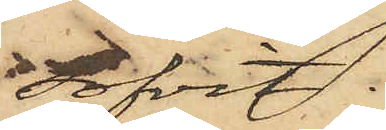sofvit.
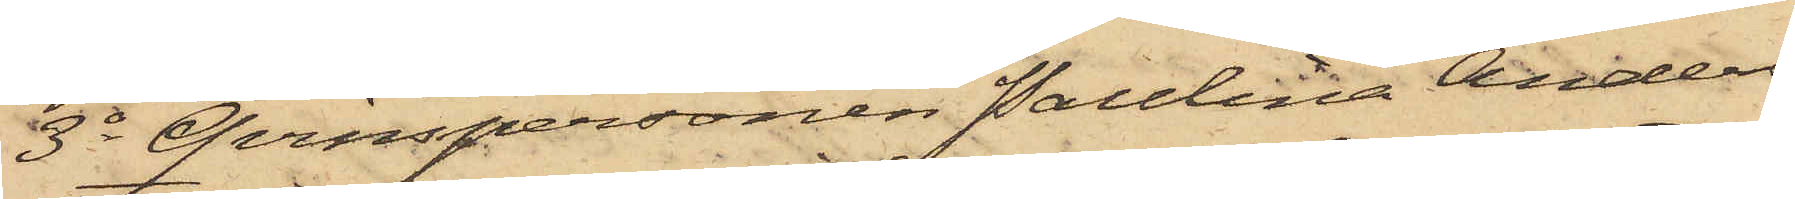3o Qvinspersonen Paulina Anders¬
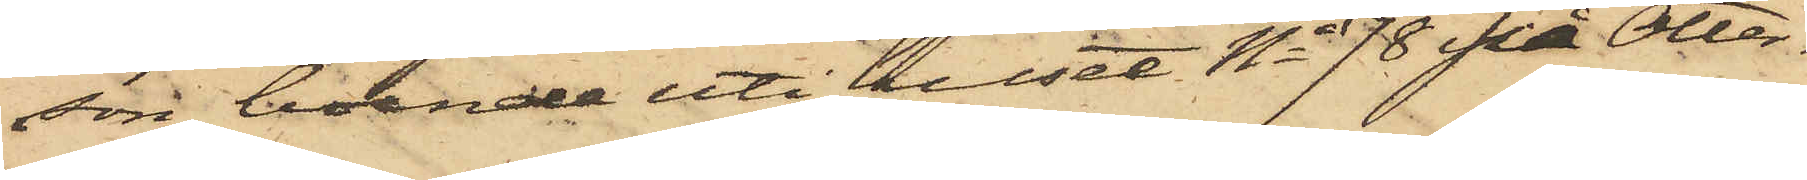son, boende uti huset No 78 på Otter¬
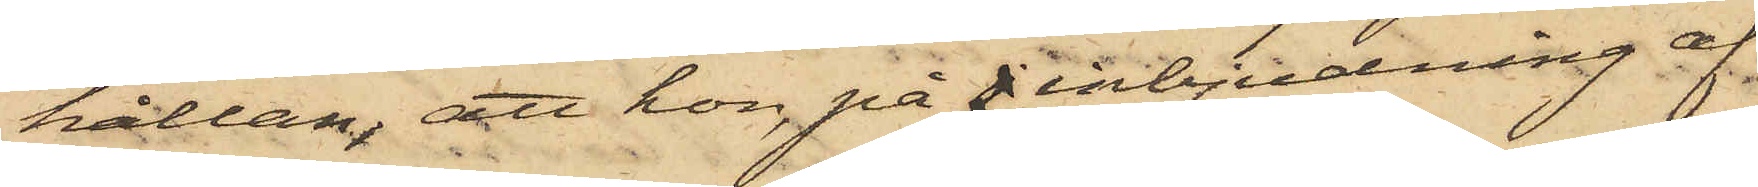hällan; att hon, på j inbjudning af
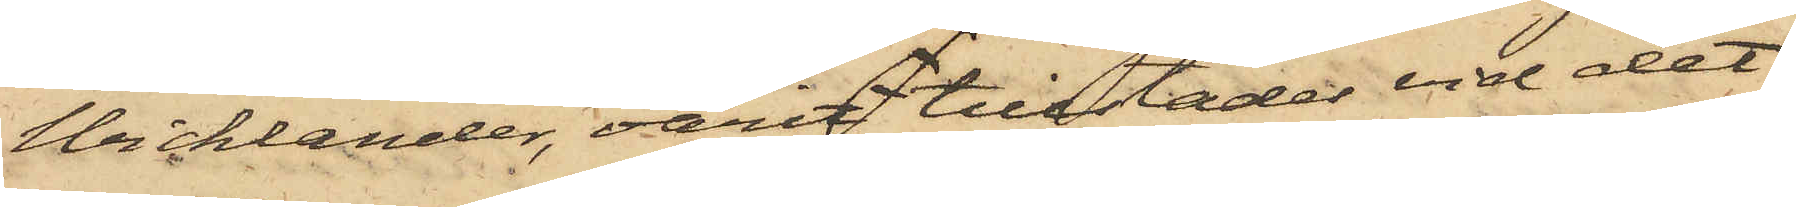Wicklander, varit tillstädes vid det
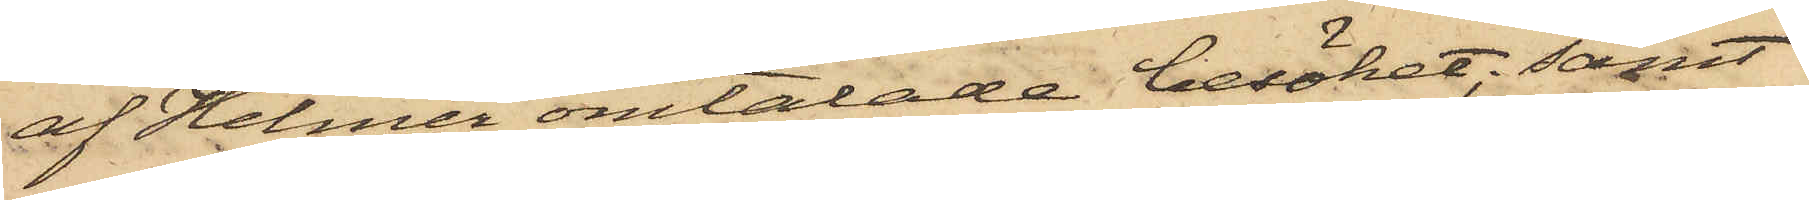af Helmer omtalade besöket; samt
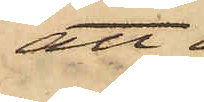att
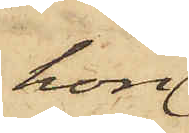hon
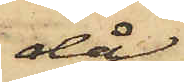då
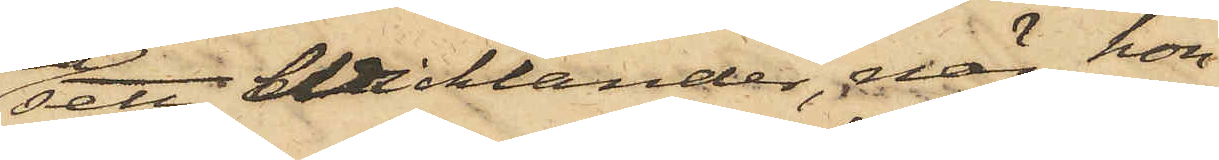sett Wicklander, när hon
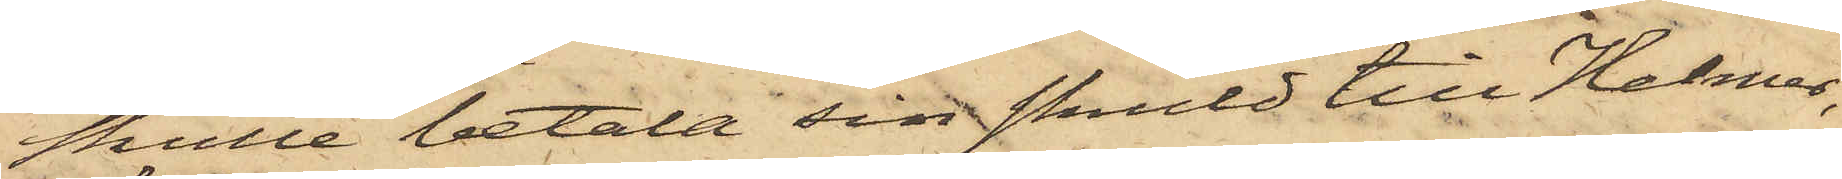skulle betala sin skuld till Helmer,
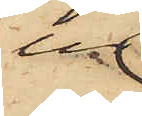ur
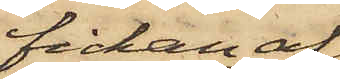fickan af
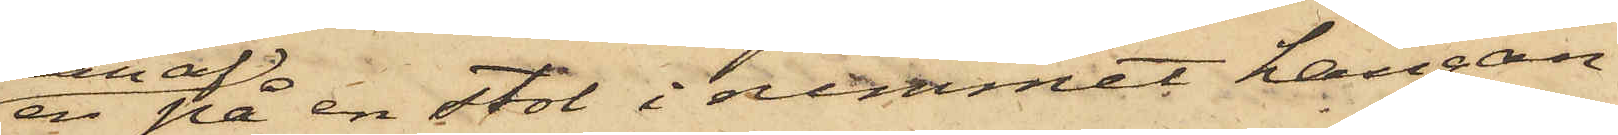en på en stol i rummet hängan¬
